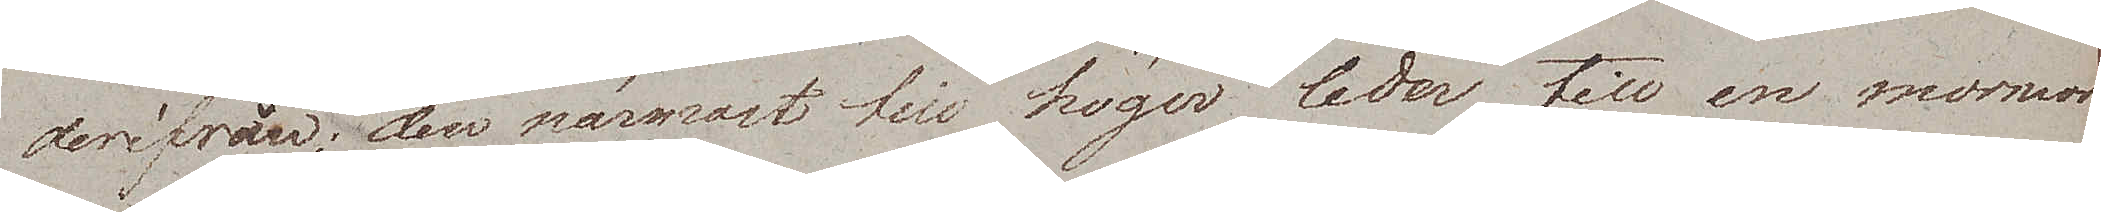derifrån; den närmast till höger leder till en marmor¬
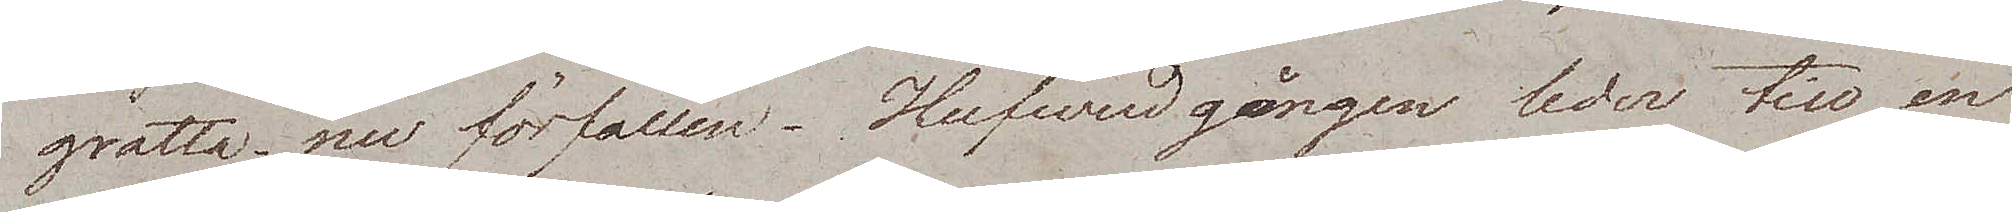grotta – nu förfallen. Hufvudgången leder till en
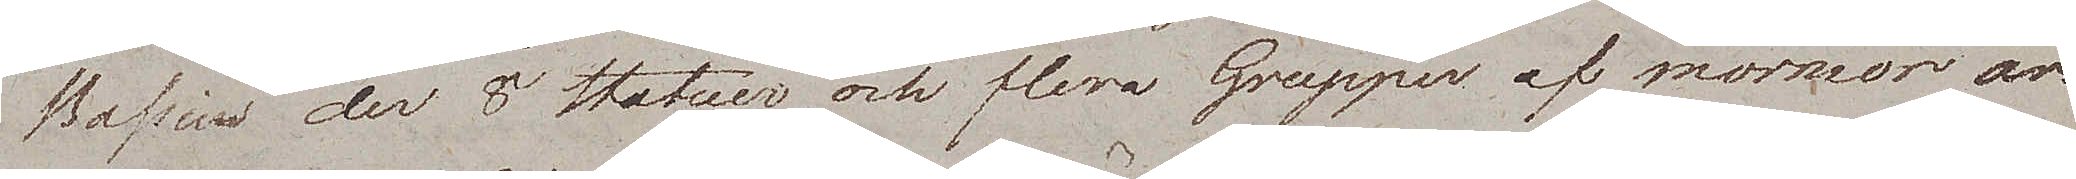Bassin der 8 Statuer och flera Grupper af marmor äro
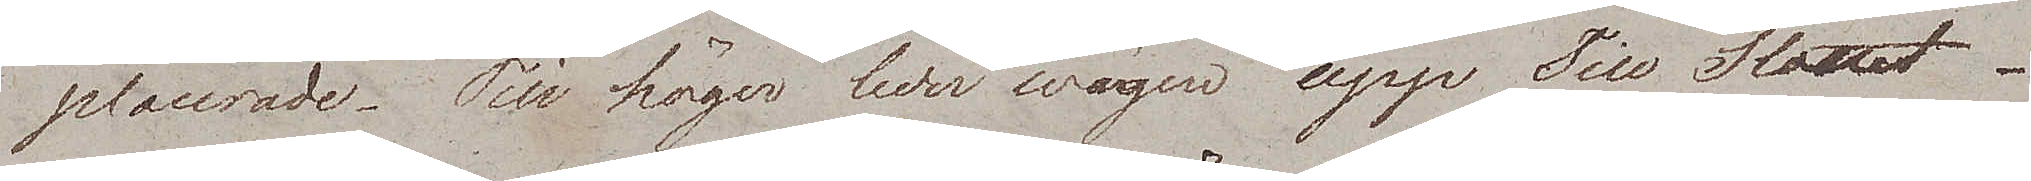placerade. Till höger leder wägen upp Till Slottet.
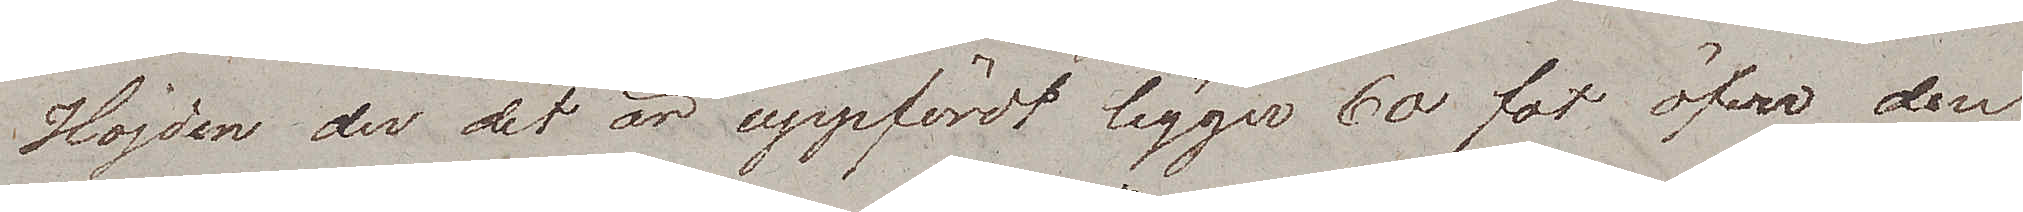Höjden der det är uppfördt ligger 60 fot öfver den
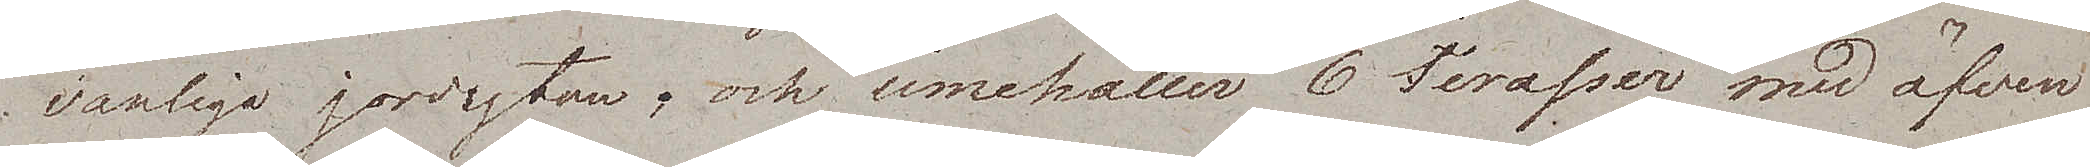vanliga jordytan, och innehåller 6 Terasser med äfven
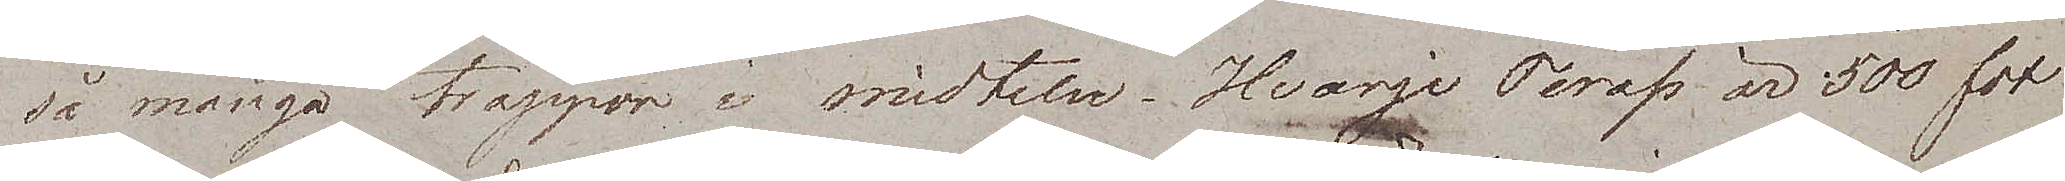så många trappor i midten. Hvarje Terass är 500 fot
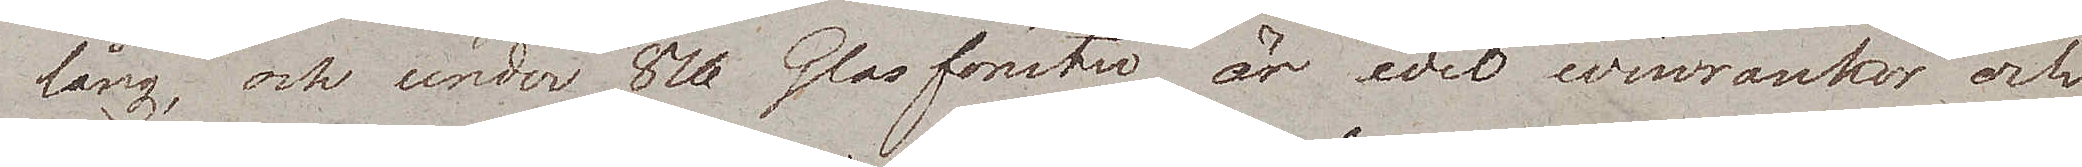lång, och under 80 Glasfönster är det winrankor och
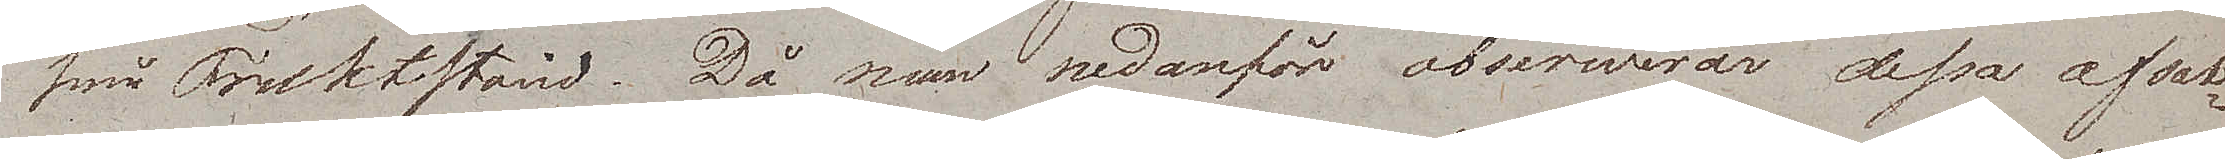små Fruktstånd. Då man nedanför obserwerar dessa afsat¬
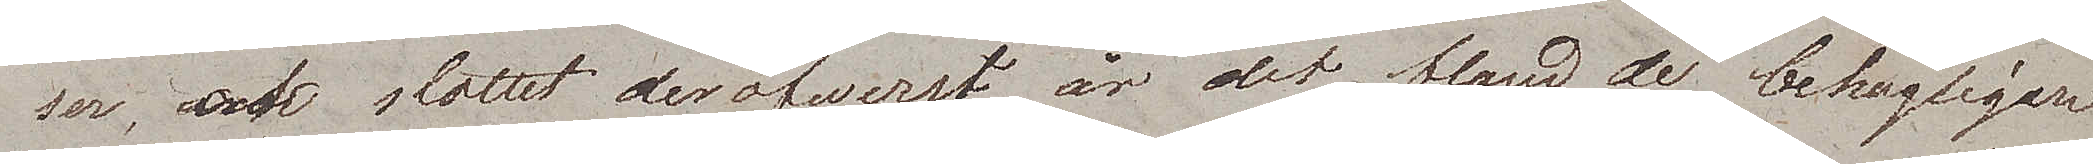ser, och slottet deröfwerst, är det bland de behagligare
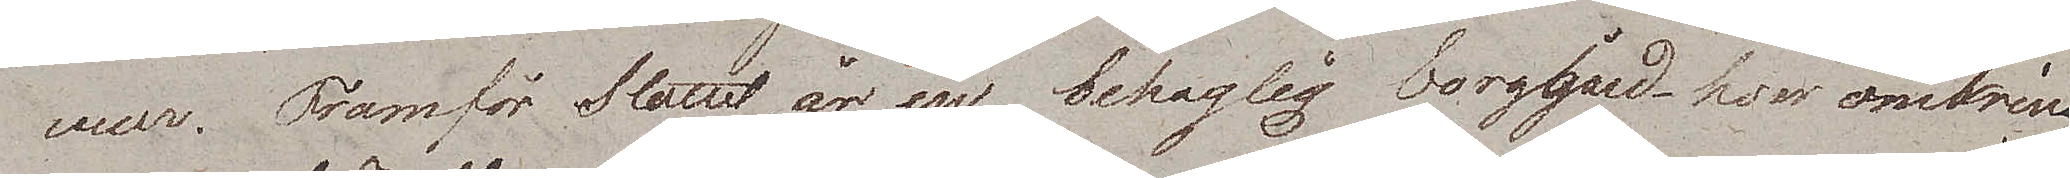vuer. Framför Slottet är en behaglig borggård hvaromkring
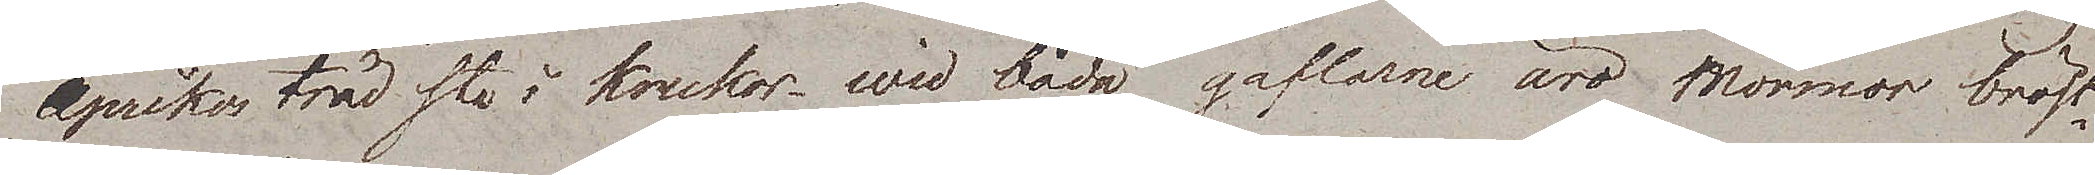Aprikosträd stå i krukor – wid båda gaflarne äro Marmor bröst¬
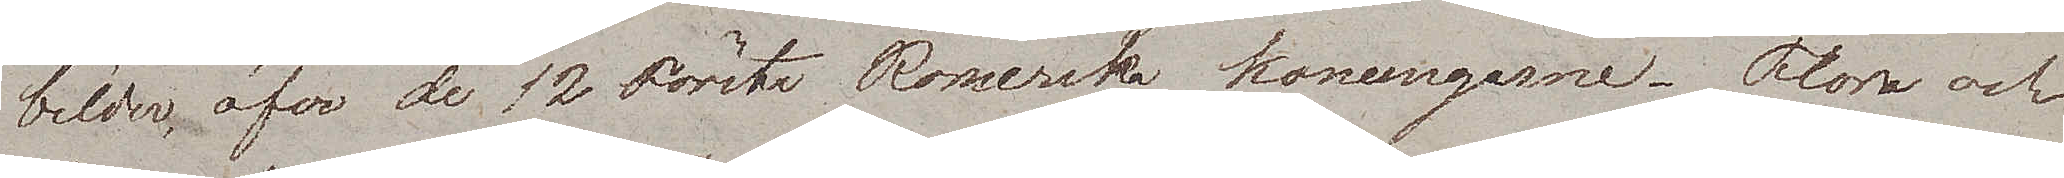bilder, öfver de 12 Första Romerska konungarne. Flora och
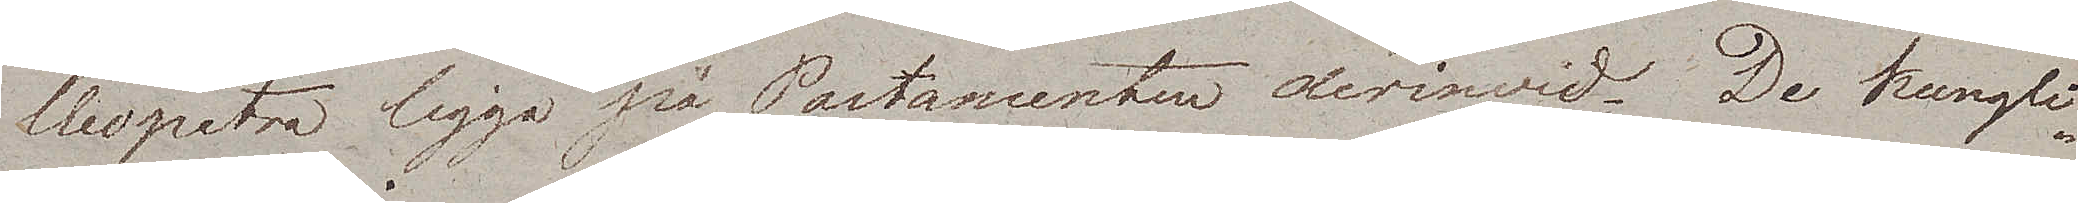Cleopatra ligga på Postamenten derinwid. De kungli¬
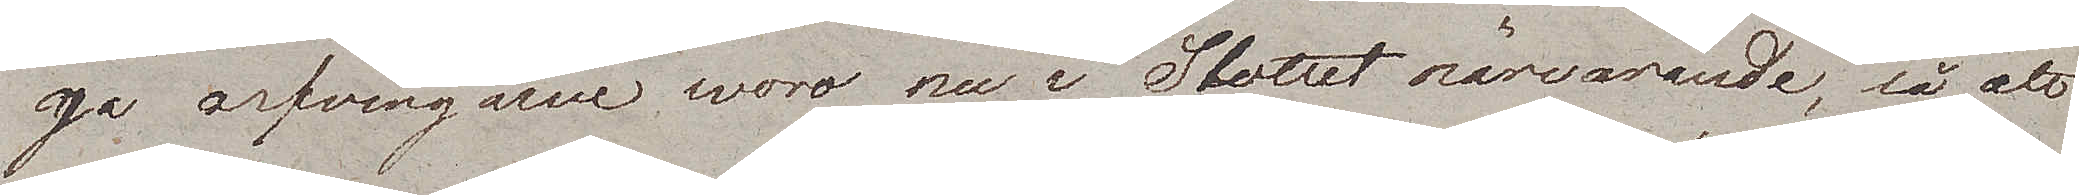ga arfvingarne woro nu i Stottet närvarande, så att
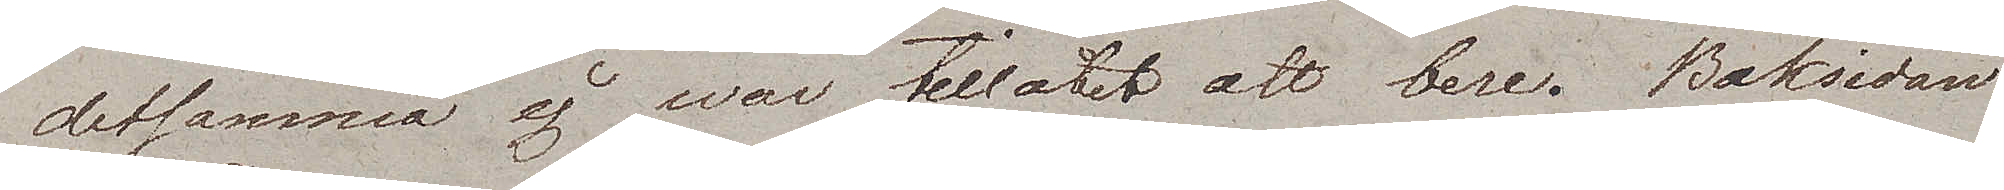detsamma ej war tillåtet att bese. Baksidan
